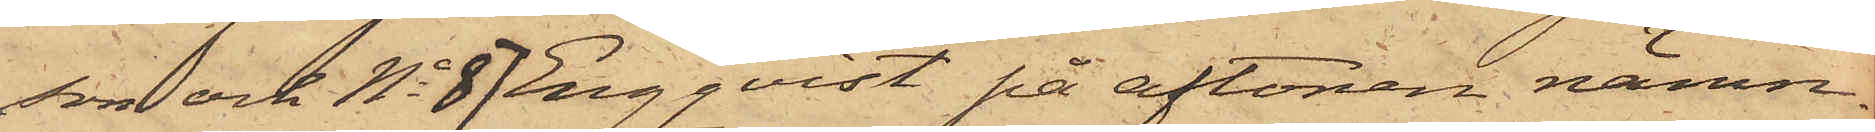son och No 87 Engqvist på aftonen nämn¬
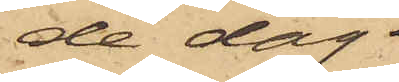de dag
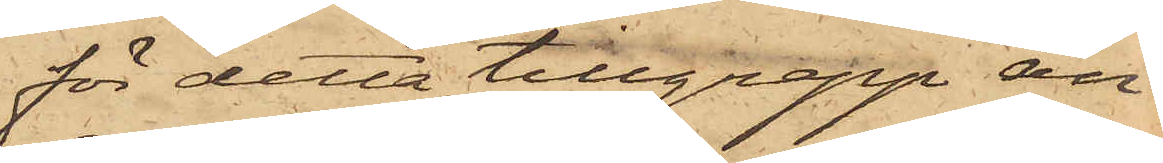för detta tillgrepp an¬
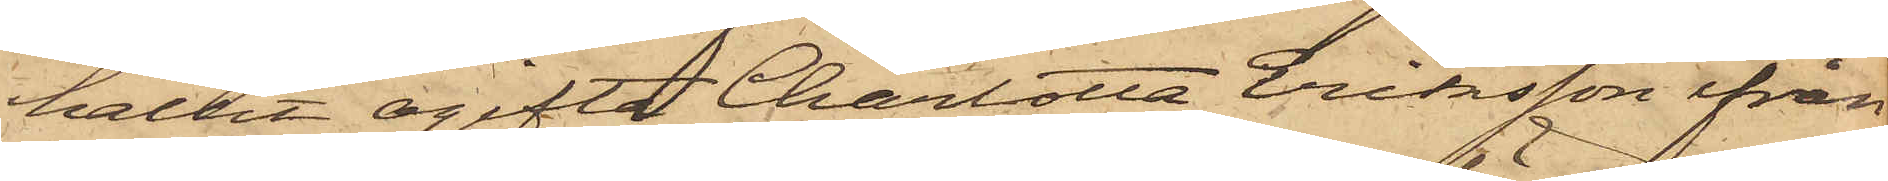hållit ogifta Charlotta Eriksson ifrån
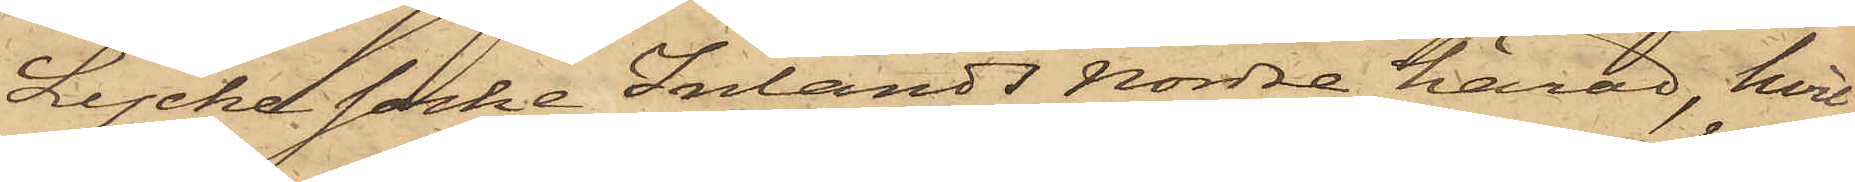Lycke socke, Inlands Nordre härad, hvil¬
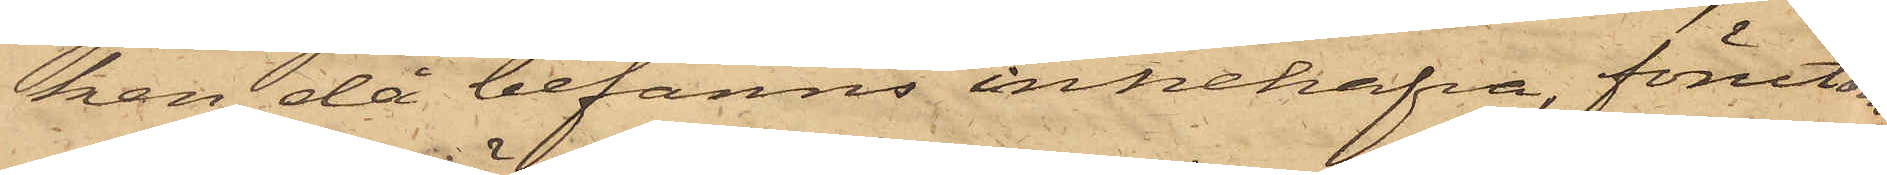ken då befanns innehafva, förutom
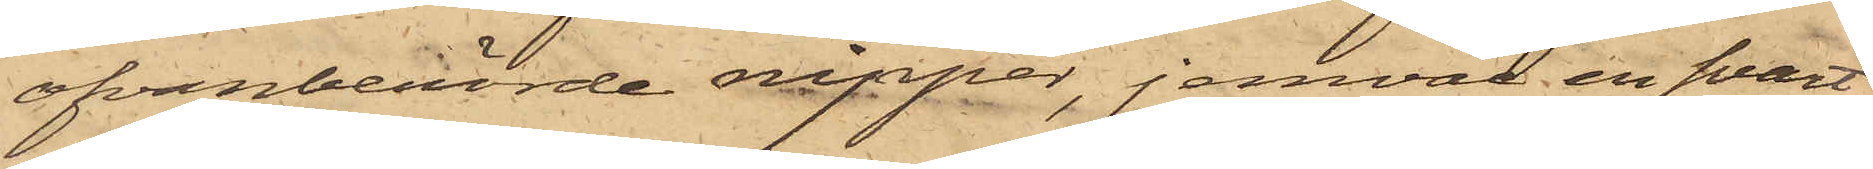ofvanberörde nipper, jemväl en svart
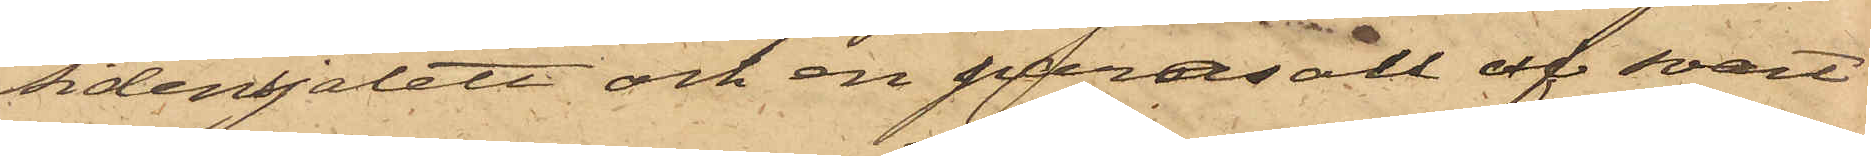sidensjalett och en parasoll af svart
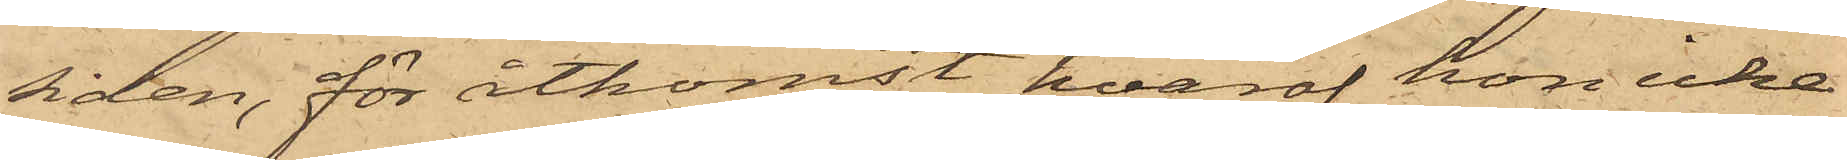siden, för åtkomst hvaraf hon icke
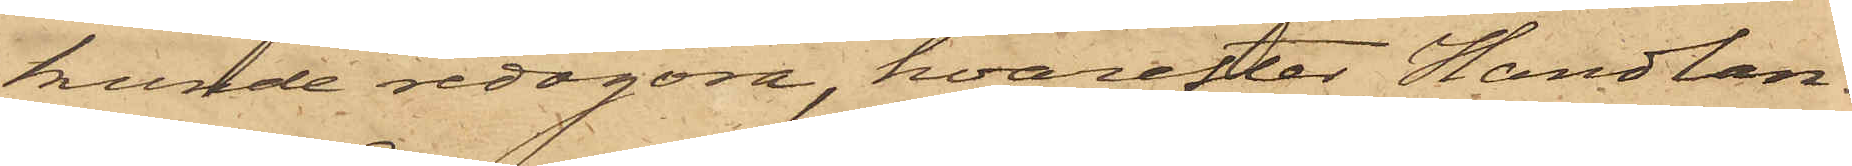kunde redogöra, hvarefter Handlan¬
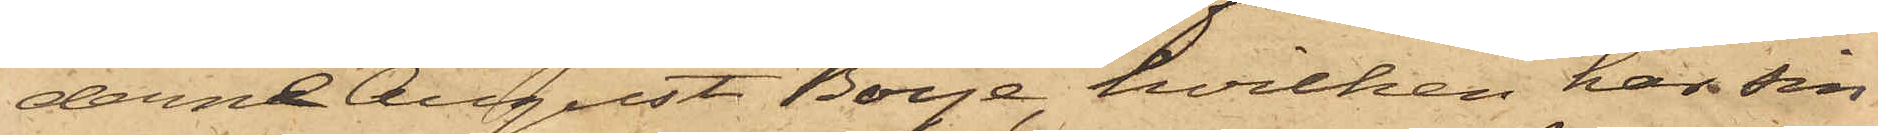derne August Boye, hvilken har sin
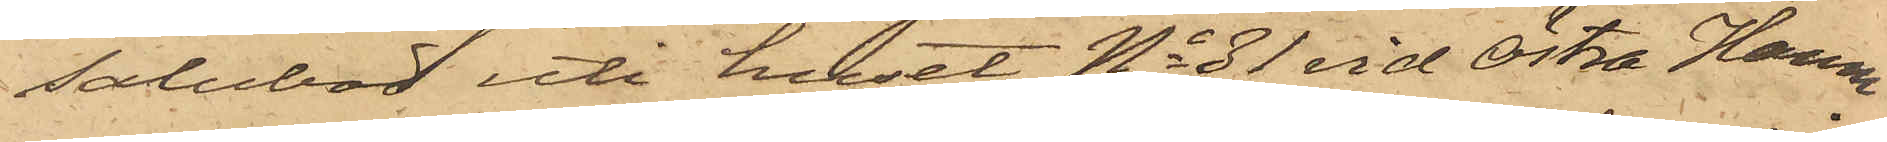salubod uti huset No 31 vid Östra Hamn¬
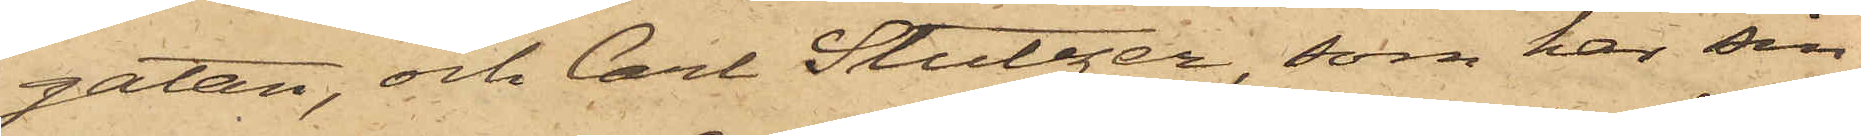gatan, och Carl Stutzer, som har sin
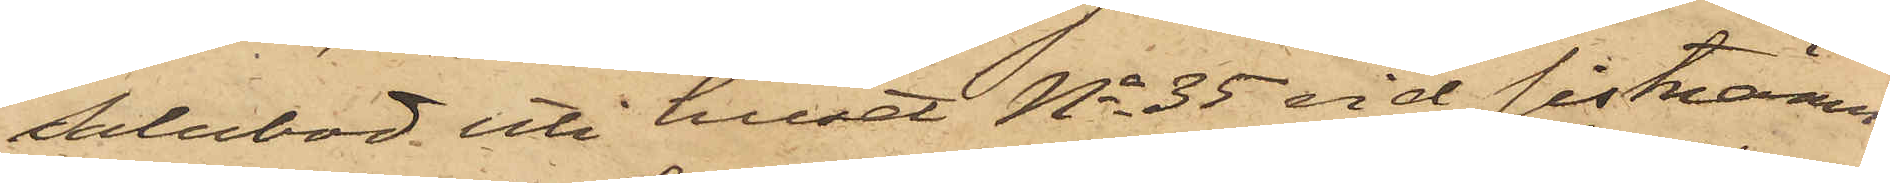Salubod uti huset No 35 vid sistnämn¬
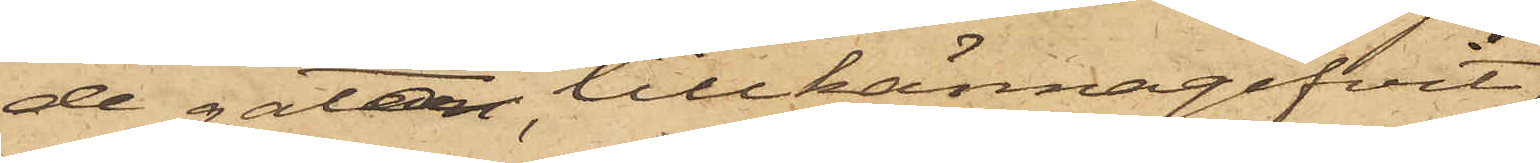de gata, tillkännagifvit
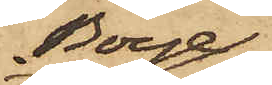Boye,
